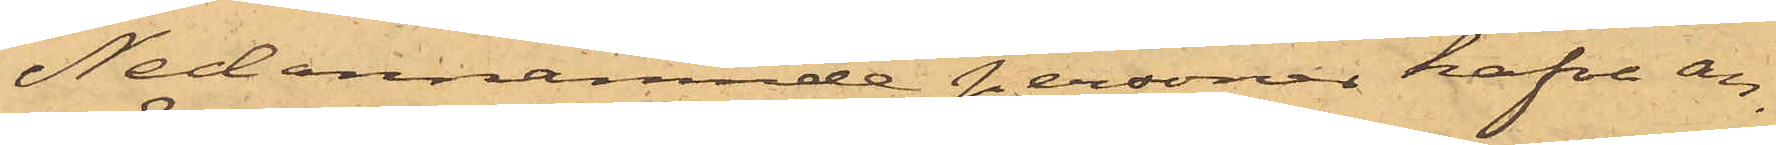Nedannämnde personer hafva an¬
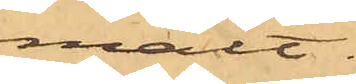mält:
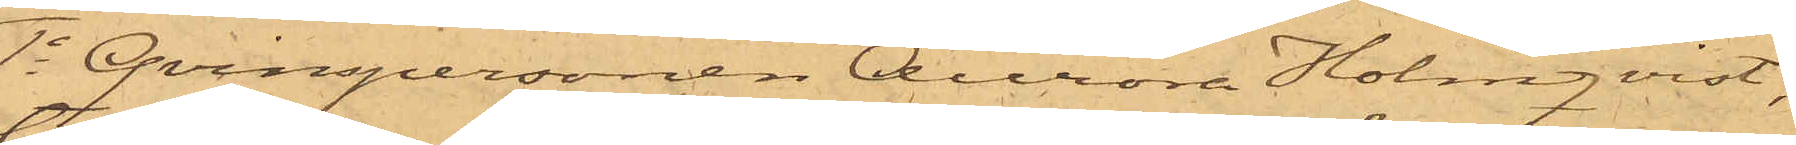1o Qvinspersonen Aurora Holmqvist,
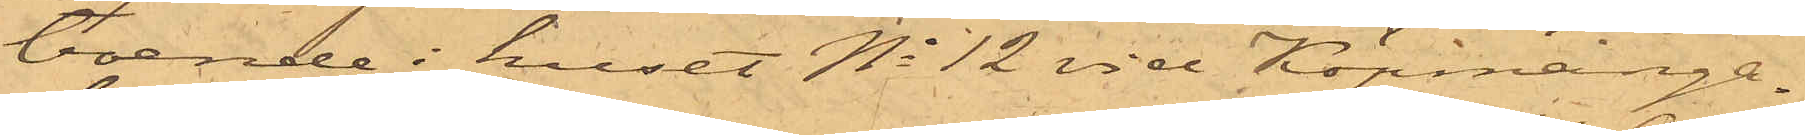boende i huset No 12 vid Köpmanga¬
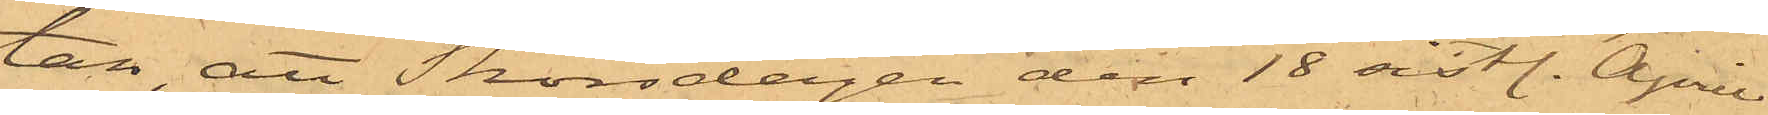tan, att Thorsdagen den 18 sistl. April
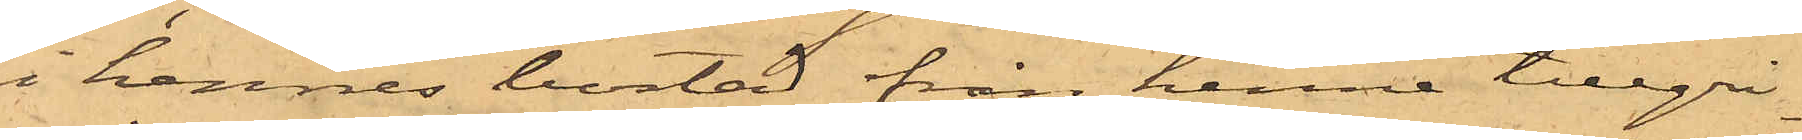i hennes bostad från henne tillgri¬
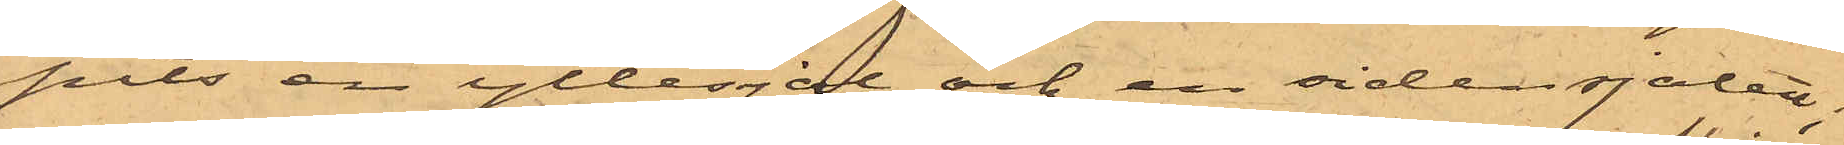pits en yllesjal och en sidensjalett;
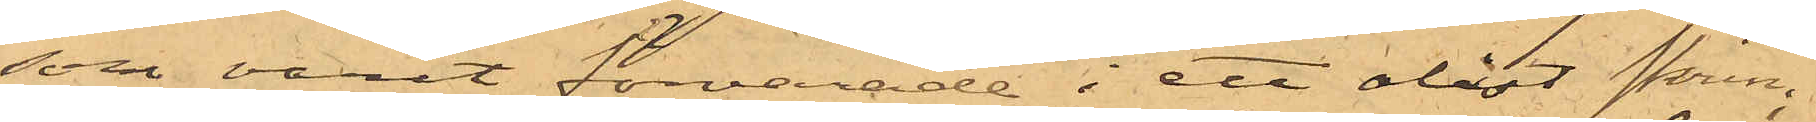som varit förvarade i ett olåst skrin.
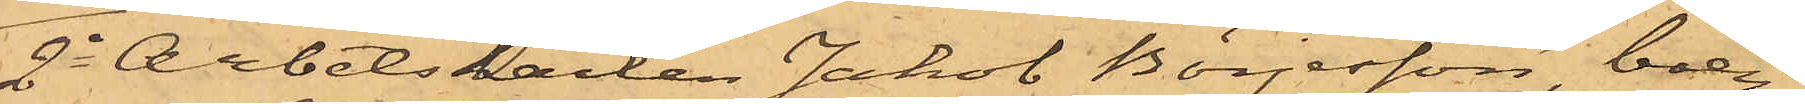2o Arbetskarlen Jakob Börjesson, boen¬
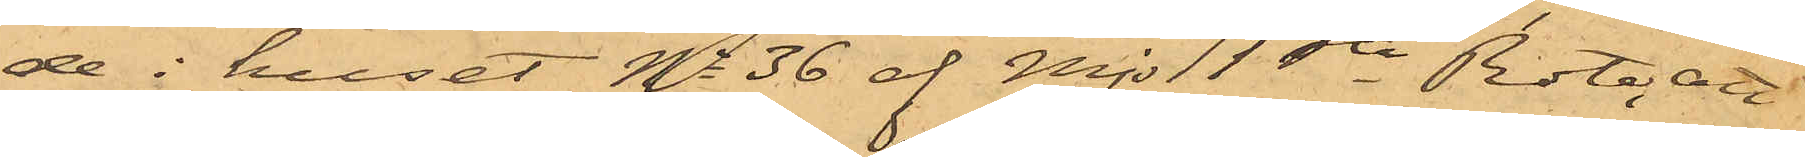de i huset No 36 af Mjs 1sta Rote, att
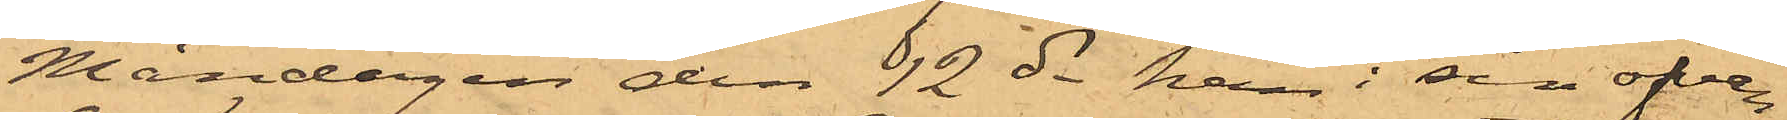Måndagen den 12 ds han i sin ofvan¬
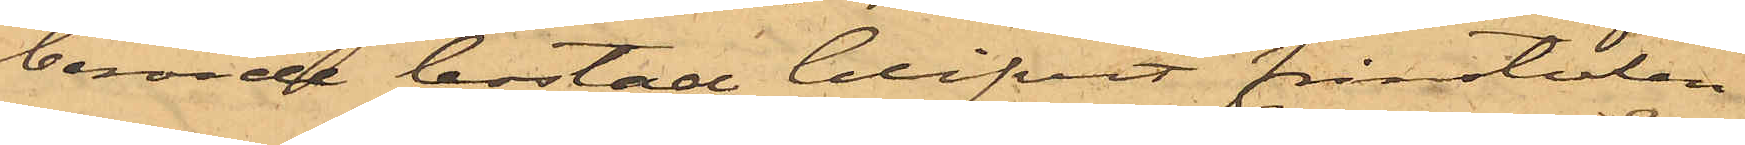berörde bostad blifvit frånstulen
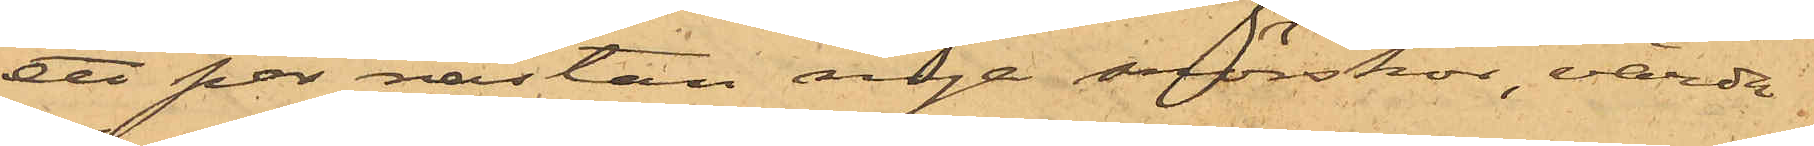ett par nästan nya snörskor, värda
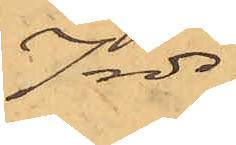7 rdr.
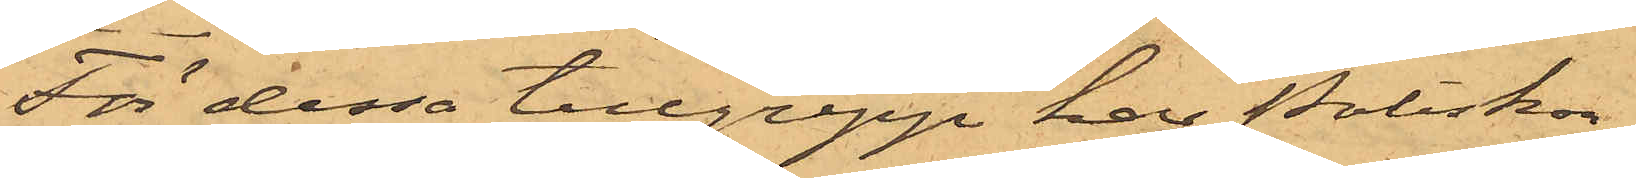För dessa tillgrepp har Poliskon¬
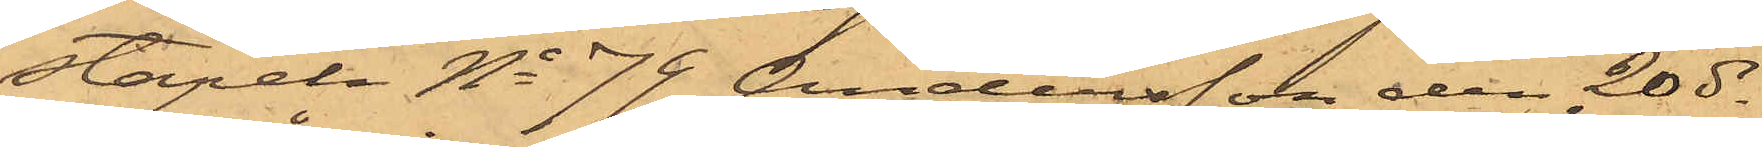stapeln No 79 Andersson den 20 ds
